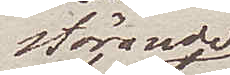störande
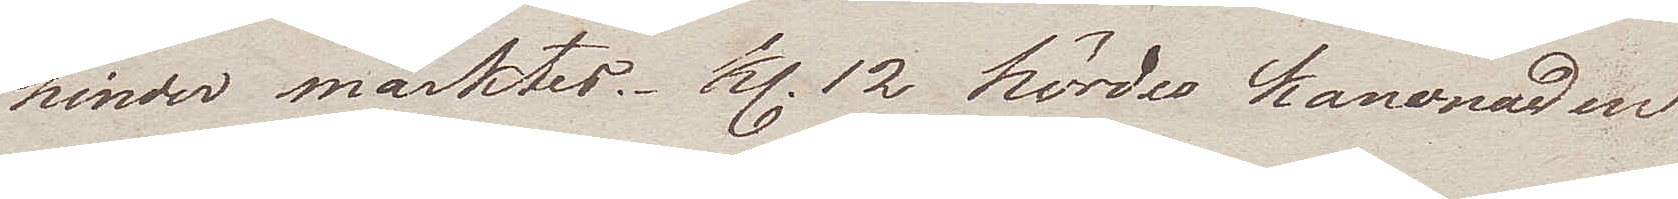hinder märktes. Kl. 12 hördes kanonaden
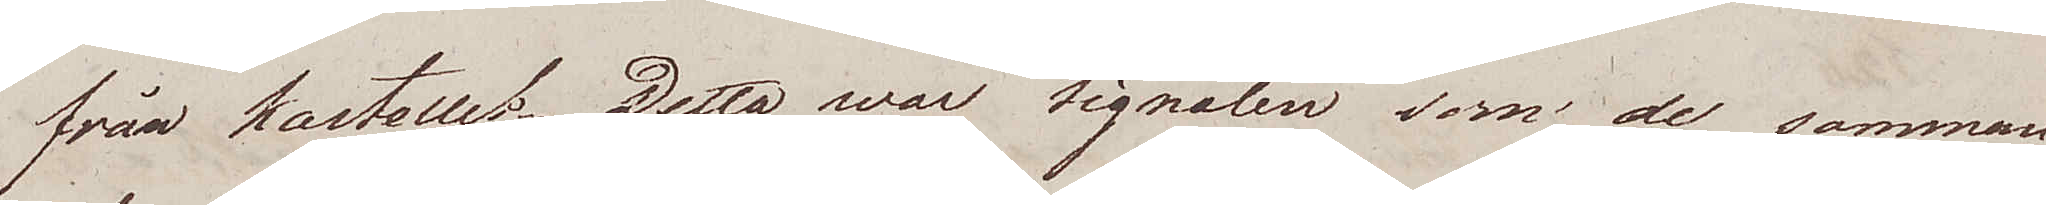från kastellet. Detta war signalen som de samman¬
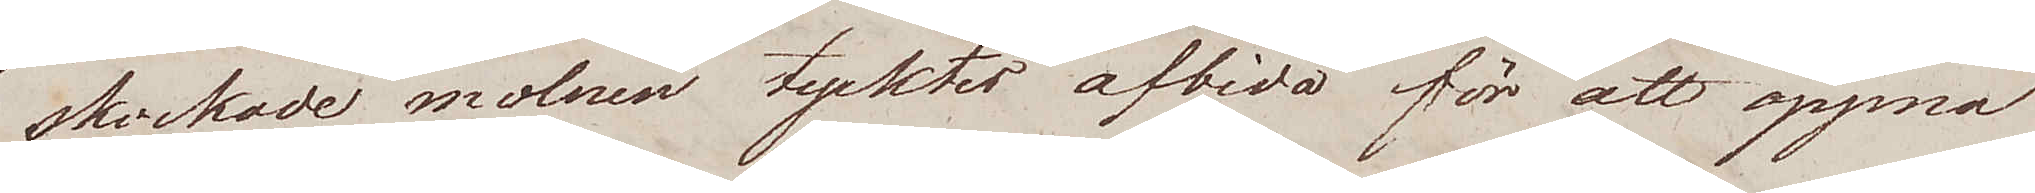skockade molnen tycktes afbida för att öppna
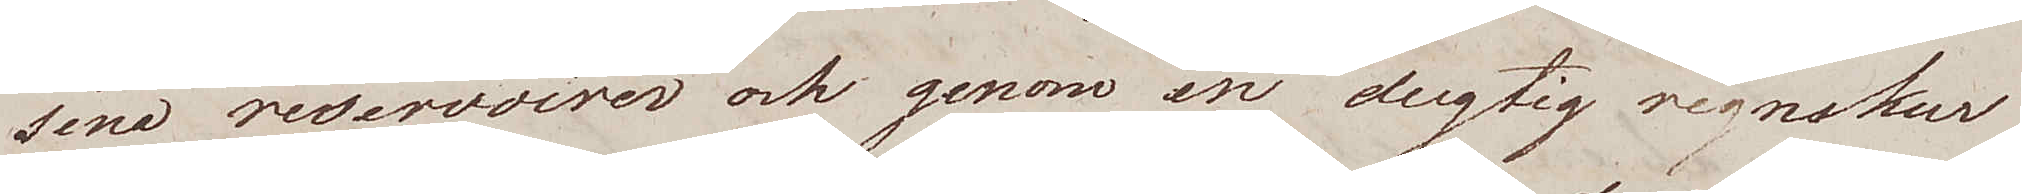sina reservoirer och genom en dugtig regnskur
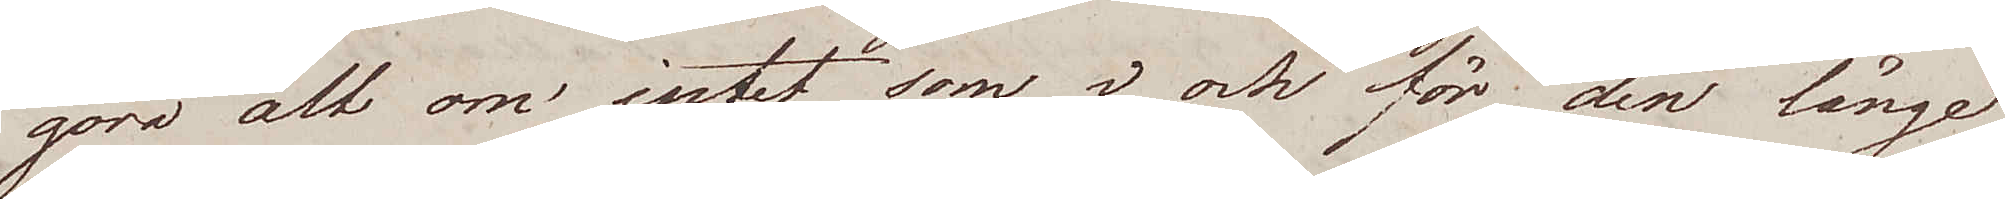göra alt om intet som i och för den länge
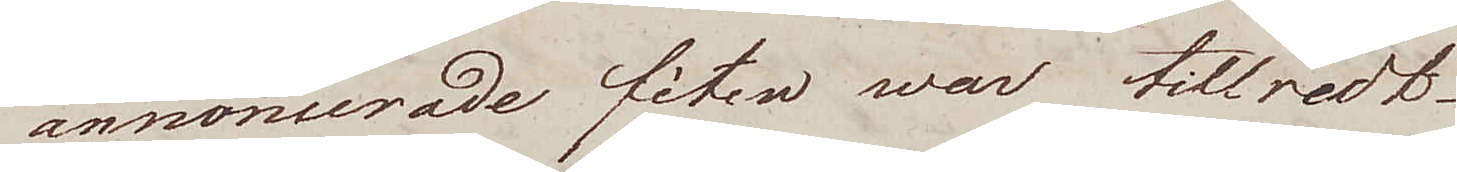annoncerade fêten war tillredt.
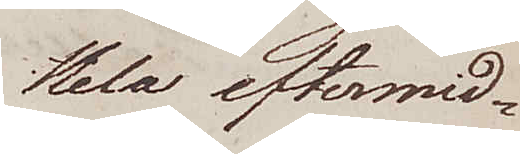Hela eftermid¬
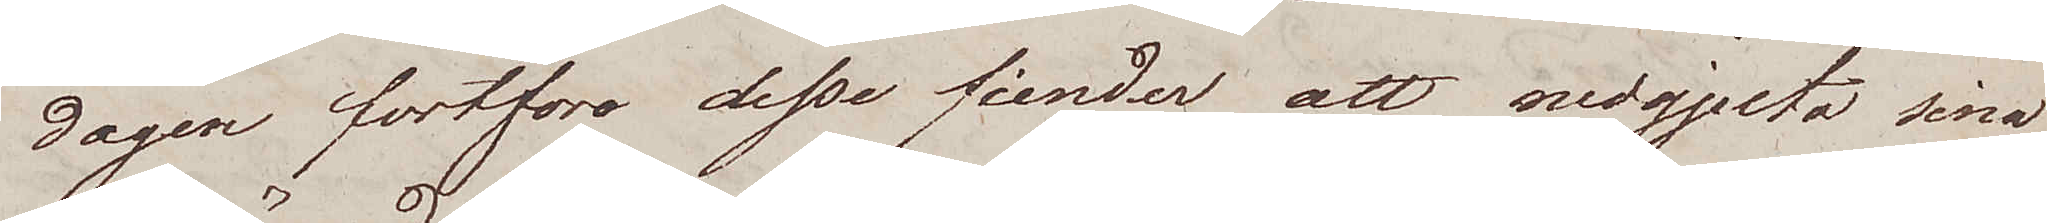dagen fortföre desse fiender att nedgjuta sina
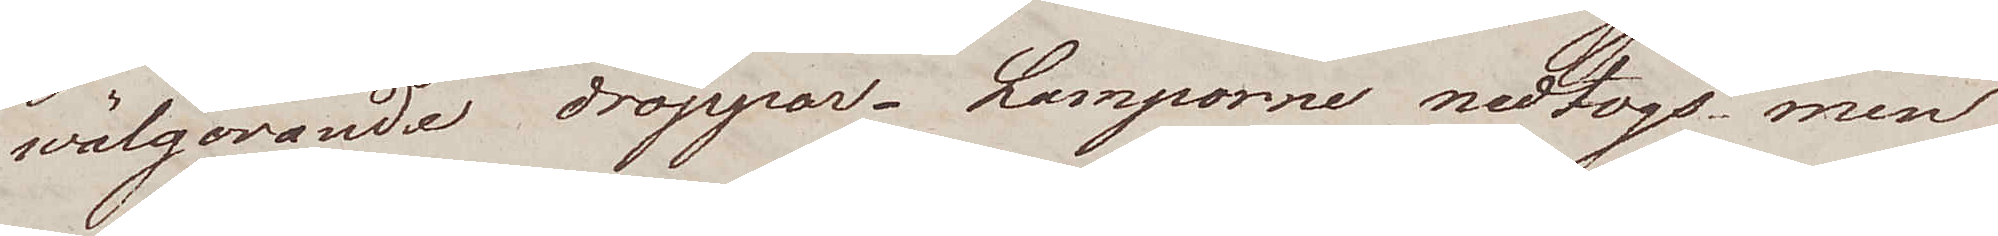wälgörande droppar. Lamporne nedtogs men
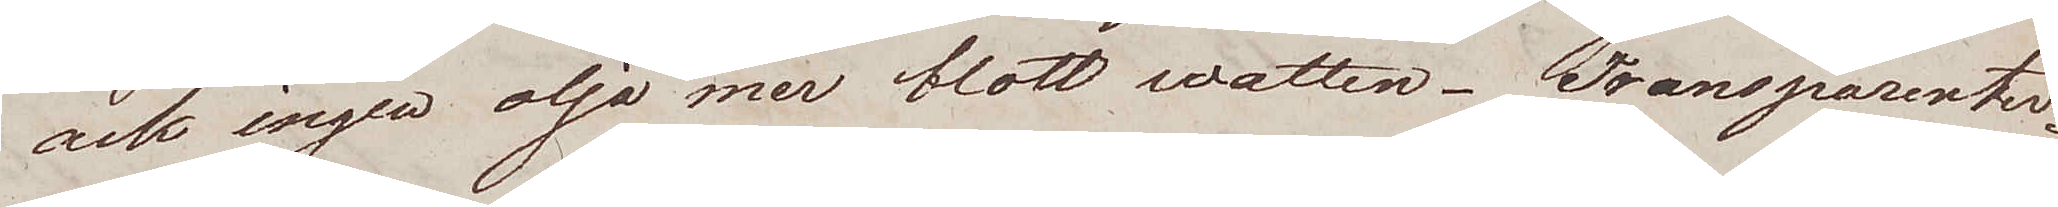ock ingen olja mer blott watten. Transparenter¬
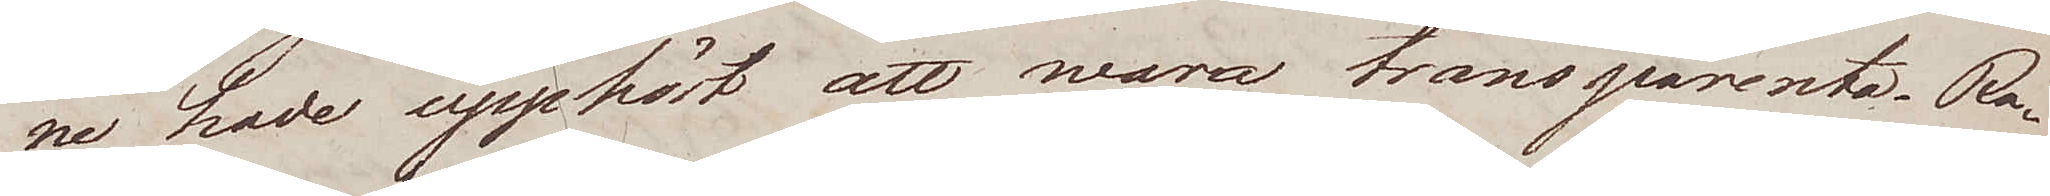ne hade upphört att wara transparenta. Ra¬
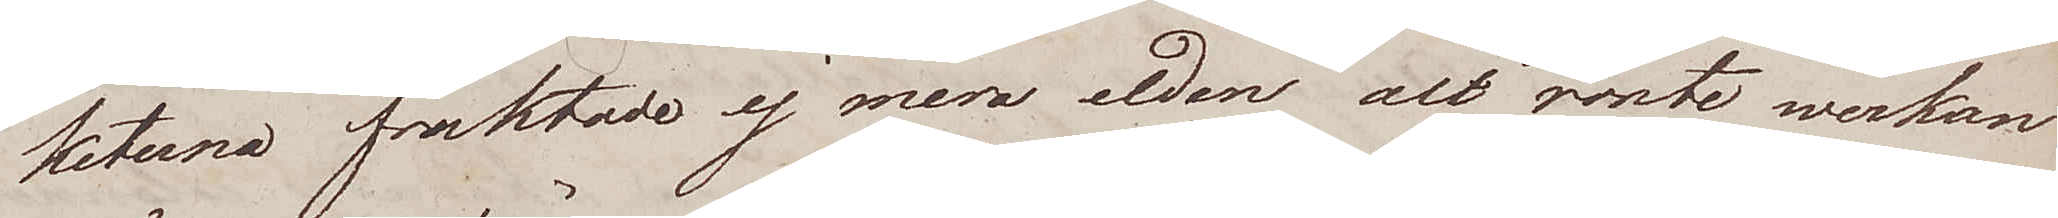keterna fruktade ej mera elden alt rönte werkan
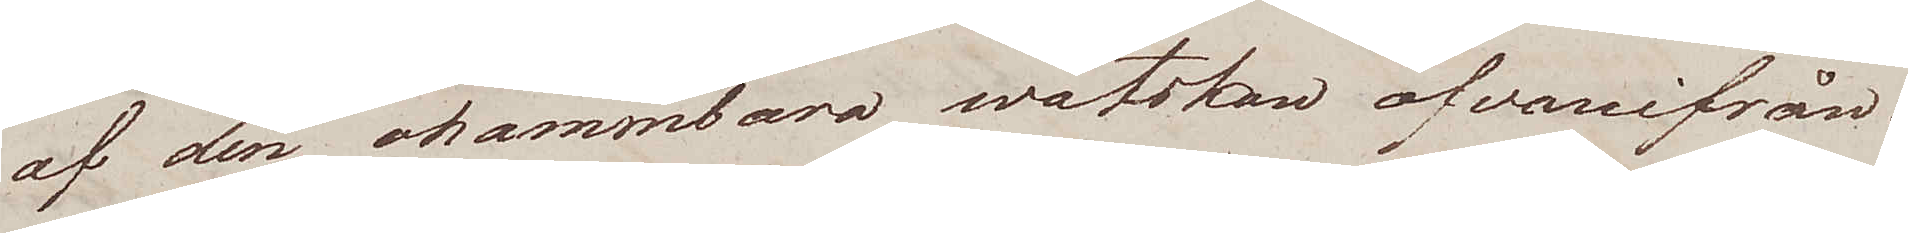af den ohämmbara wätskan ofvanifrån.
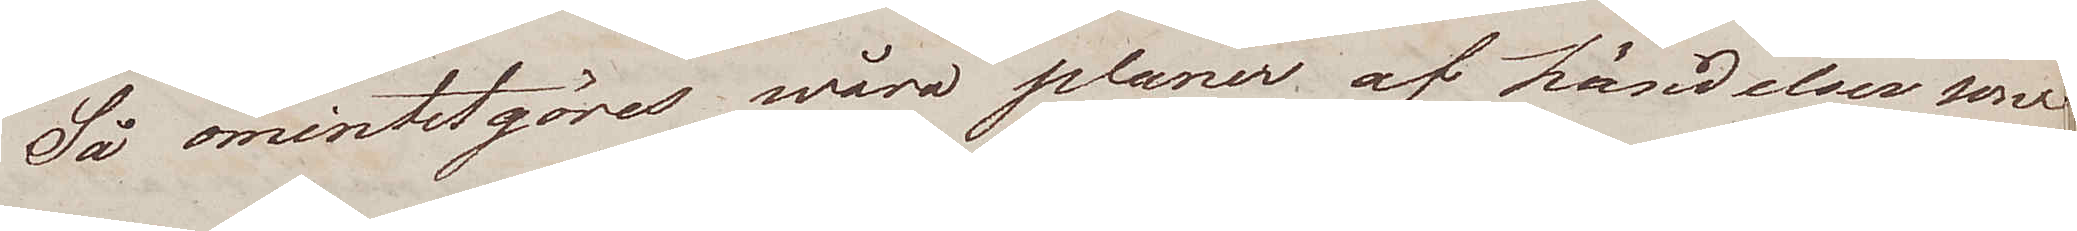Så omintetgöres wåra planer af händelser som
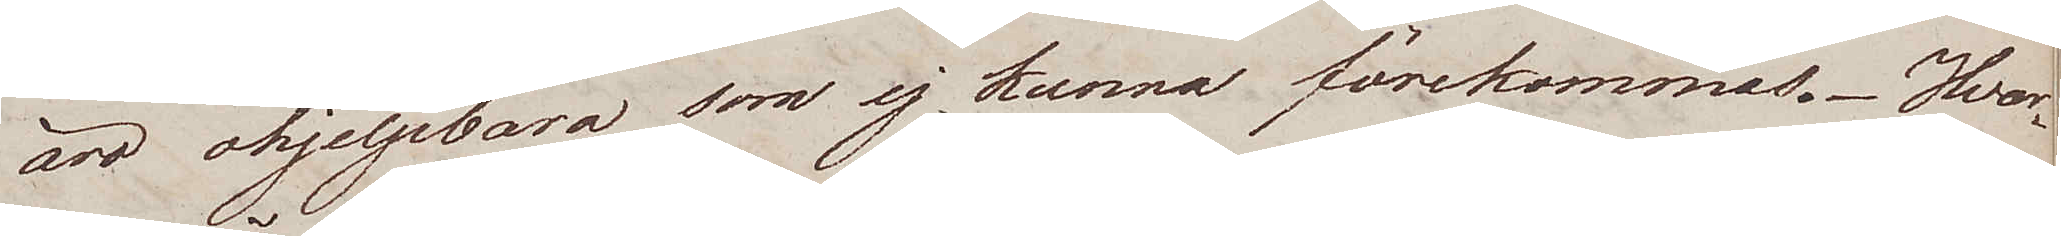äro ohjelpbara som ej kunna förekommas. Hvar¬
